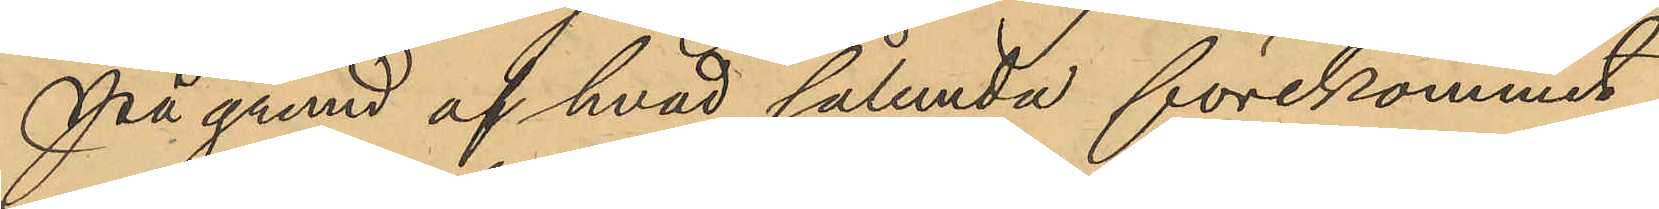På grund af hvad sålunda förekommit
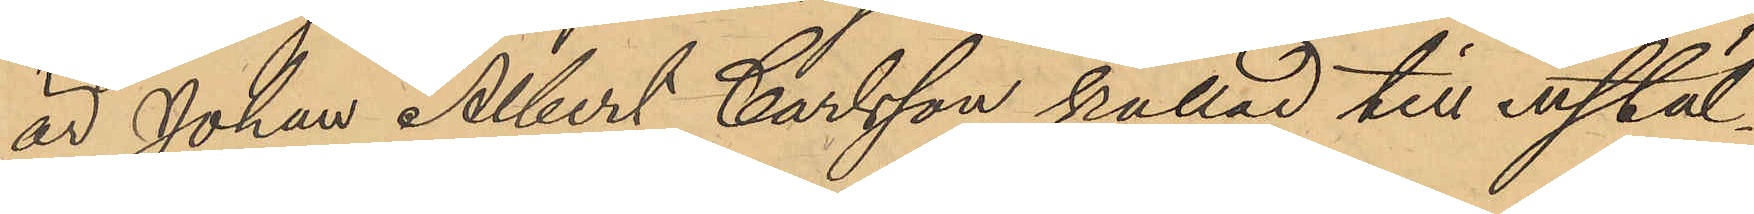är Johan Albert Carlsson kallad till instäl¬
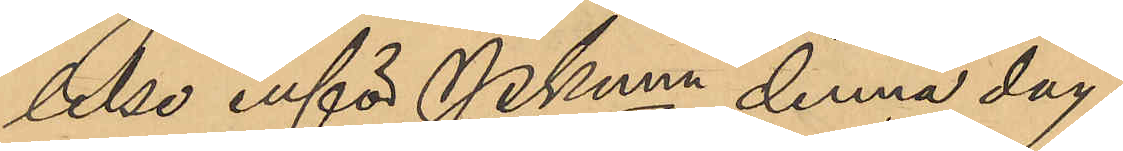lelse inför Pkmn denna dag.
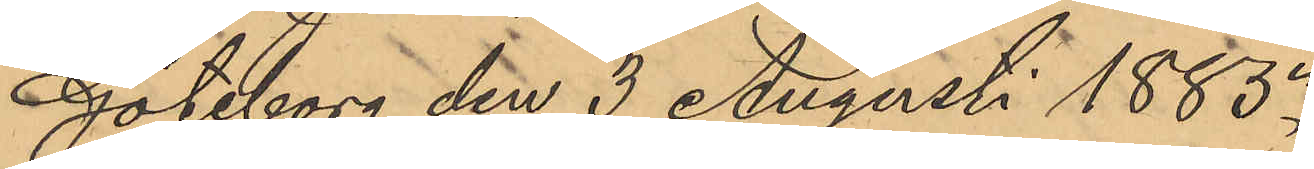Göteborg den 3 Augusti 1885.
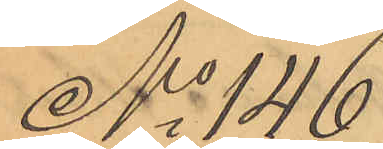No 146
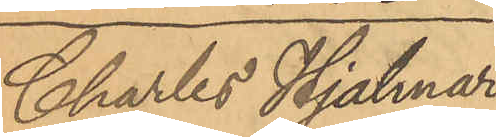Charles Hjalmar
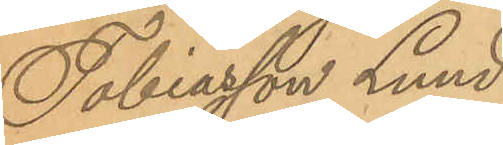Tobiasson Lund¬
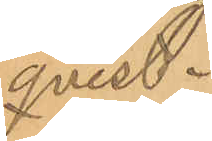qvist.
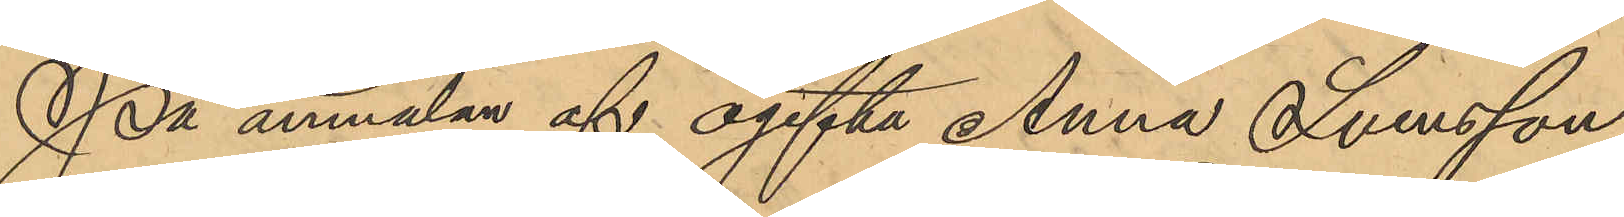På anmälan af ogifta Anna Svensson
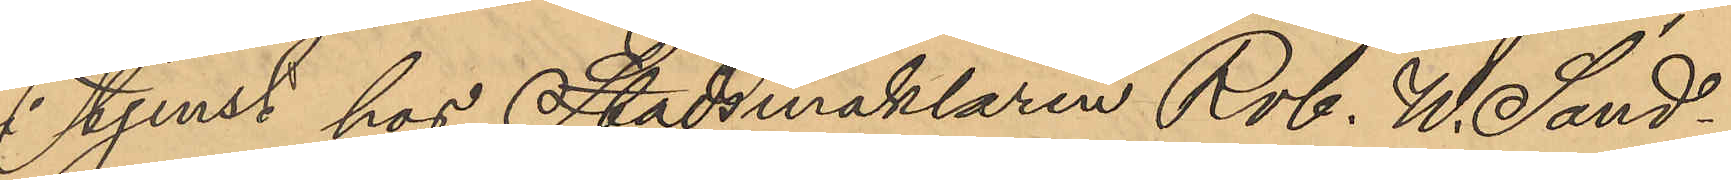i tjenst hos Stadsmäklaren Rob. W. Sand¬
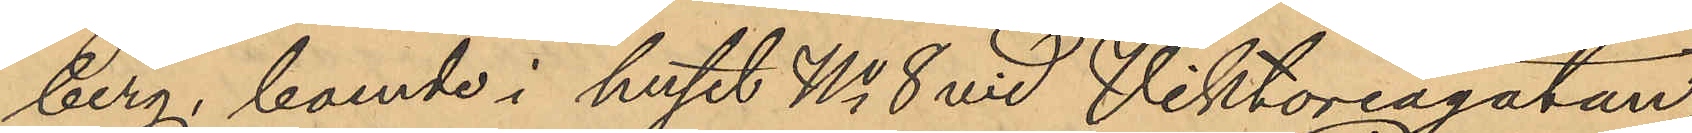berg, boende i huset No 8 vid Viktoriagatan
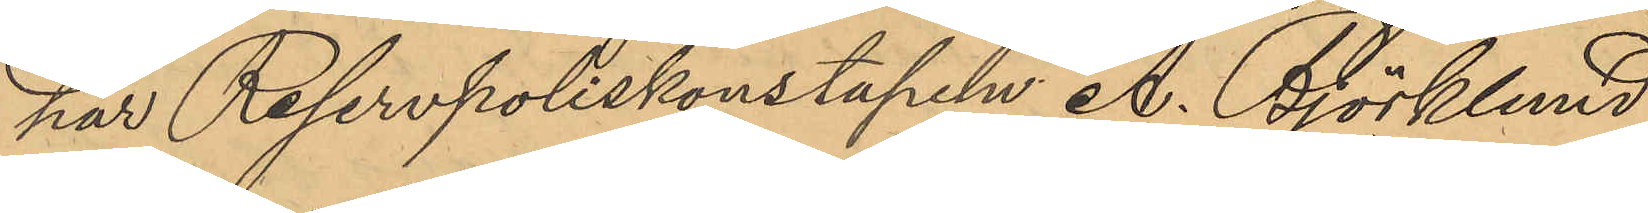har Reservpoliskonstapeln A. Björklund
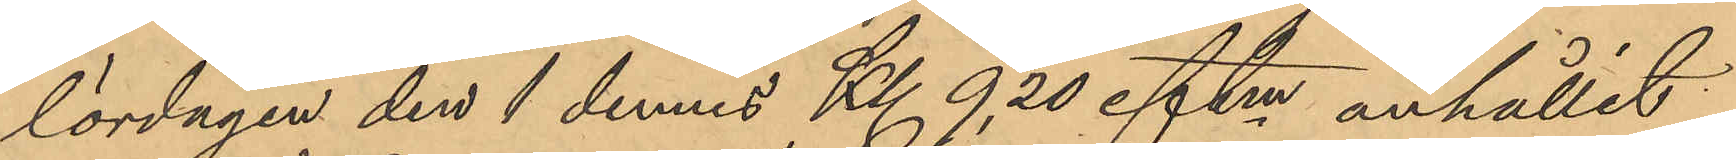lördagen den 1 dennes Kl 9,30 eftm anhållit
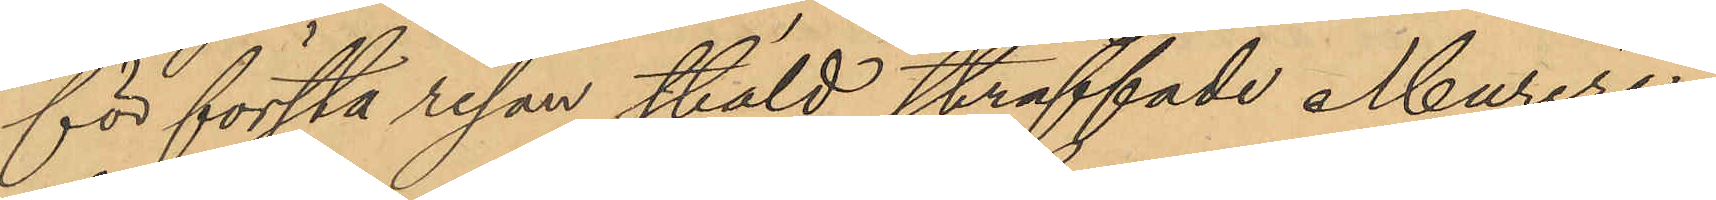för första resan stöld straffade Mureri¬
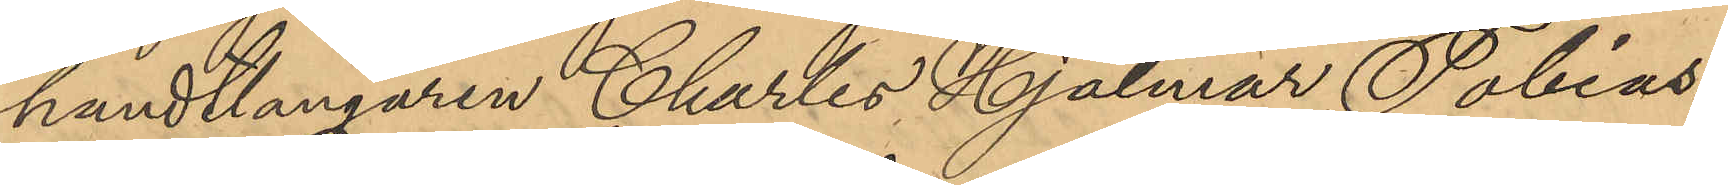handtlangaren Charles Hjalmar Tobias¬
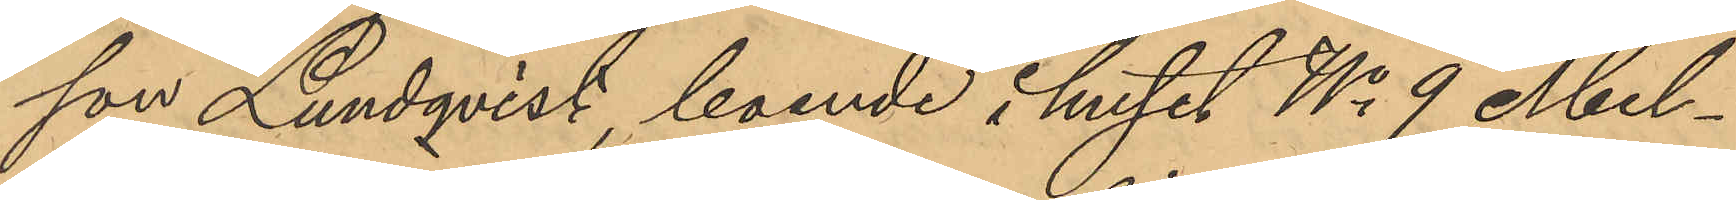son Lundqvist, boende i huset No 9 Mel¬
